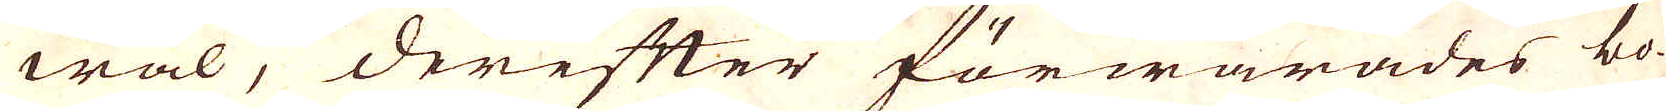wäl, derefter förwarades bo-
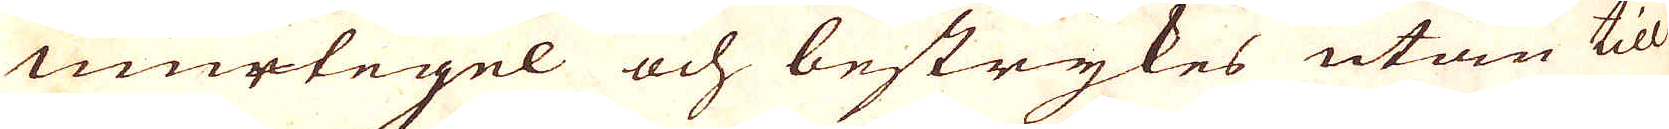murtegel och bestrykes utan till
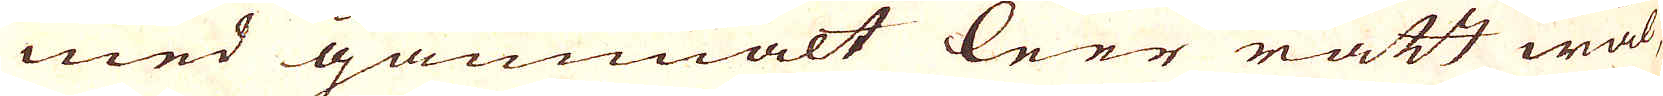med gammalt leer rätt wäl,
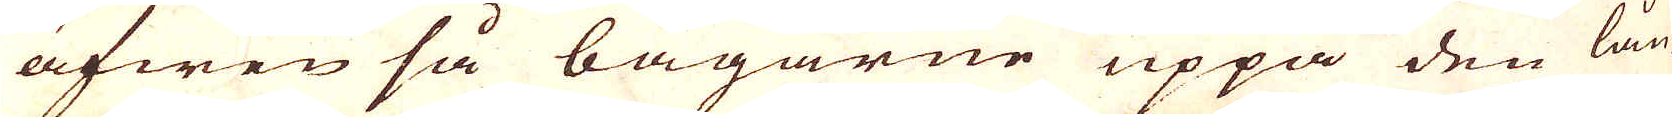äfwen så bågarne uppå den lån-
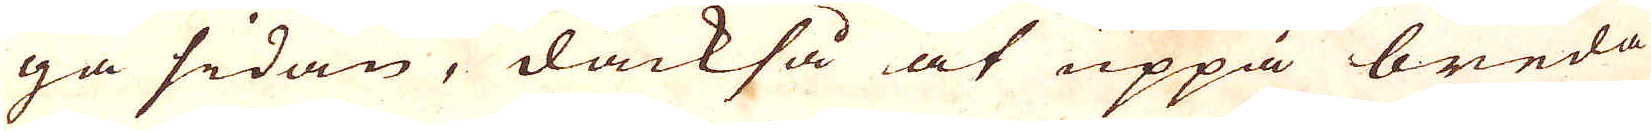ga sidan, dåckså at uppå breda
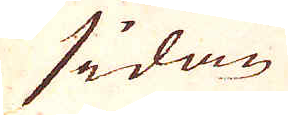sidan
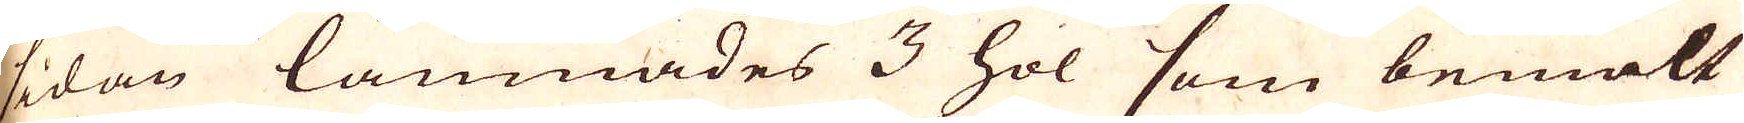sidan lämnades 3 hol som bemält
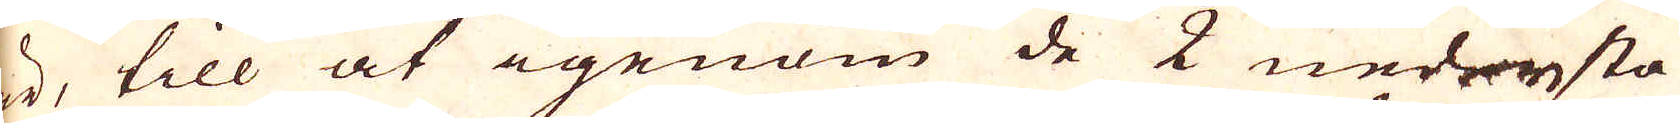är, till at igenom de 2 nedersta
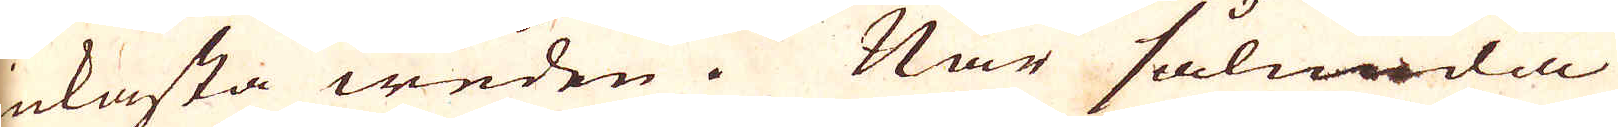inkasta weden. När sålunda
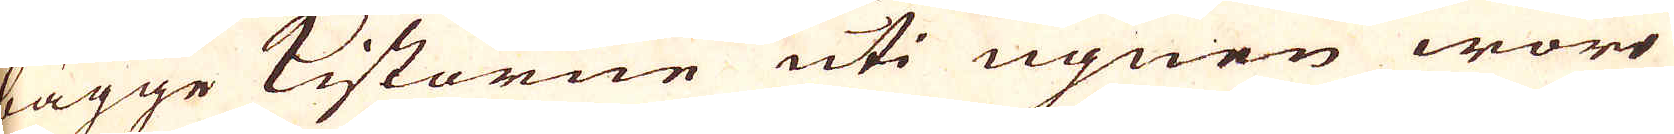bägge Kistorne uti ugnen woro
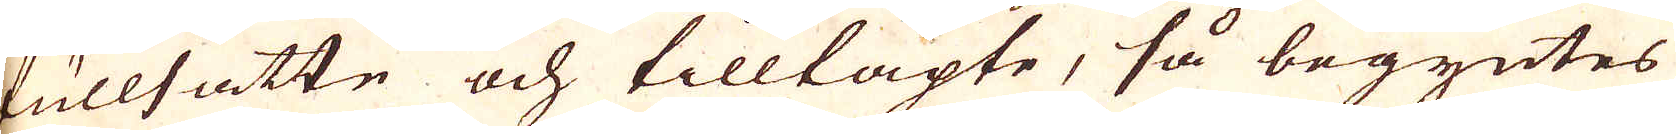fullsatte och tilltäpte, så begyntes
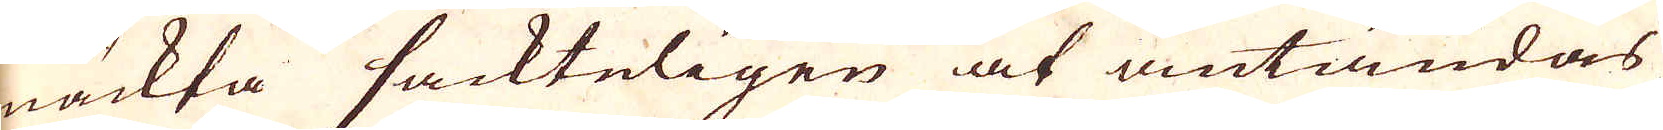mäckta sackteligen at antändas
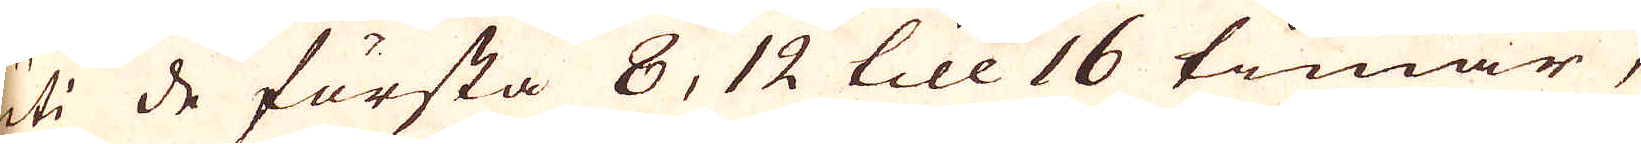uti de första 8, 12 till 16 timar,
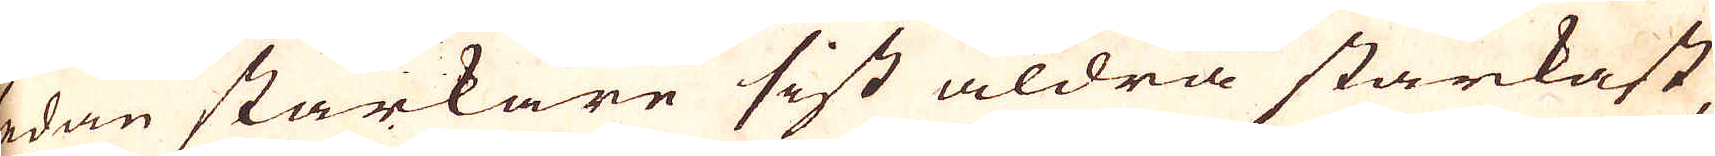sedan starkare sist aldra starkast
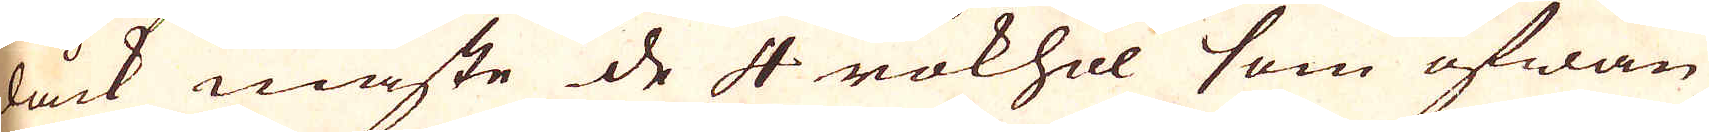dåck måste de 4 rökhol som ofwan
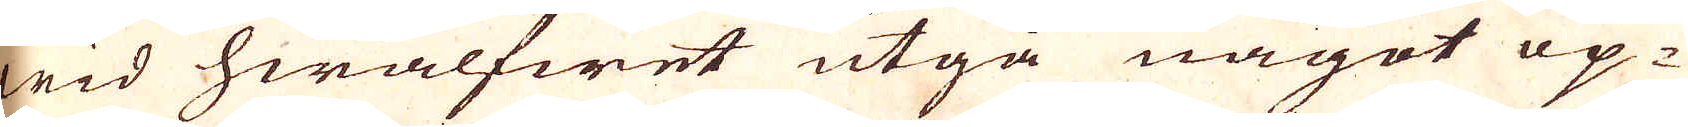wid hwalfwet utgå något öp-
